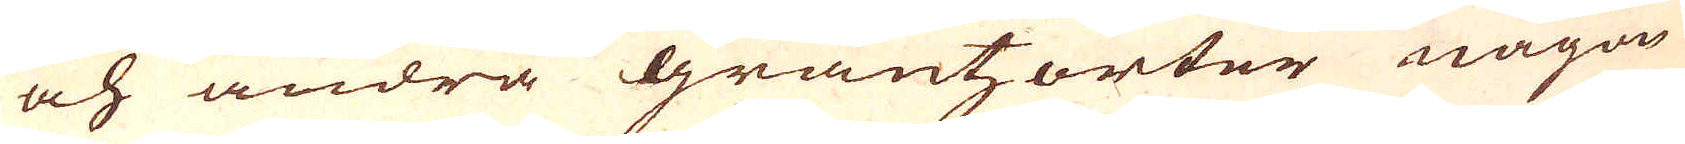och andra gräntzorter någon
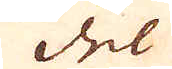del
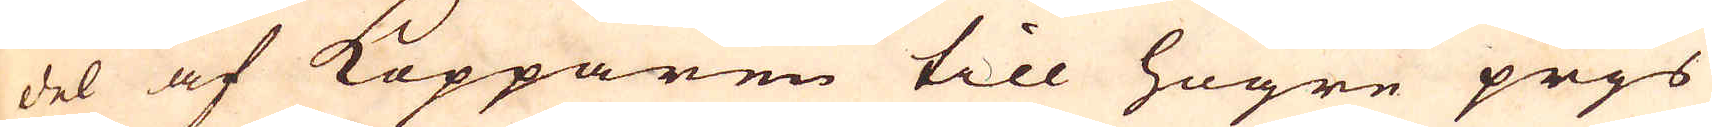del af Kopparen till högre prjs
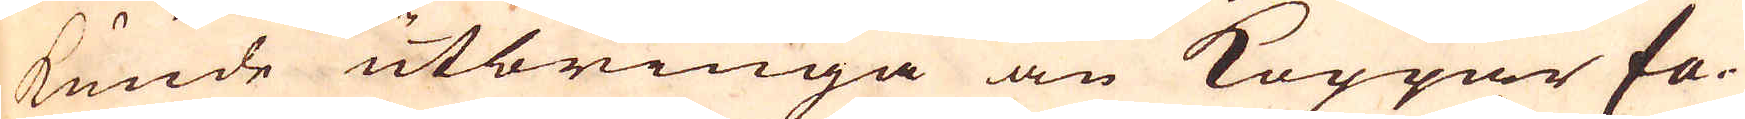kunde utbringa än Koppar fa-
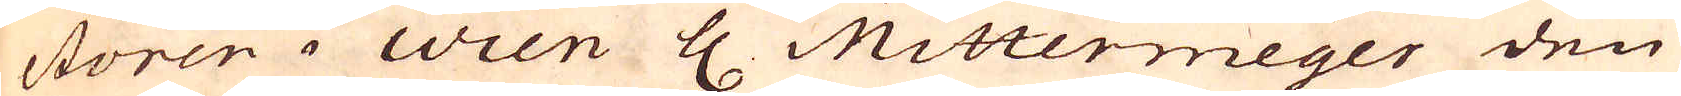ctoren i Wien H. Mittermeyer den
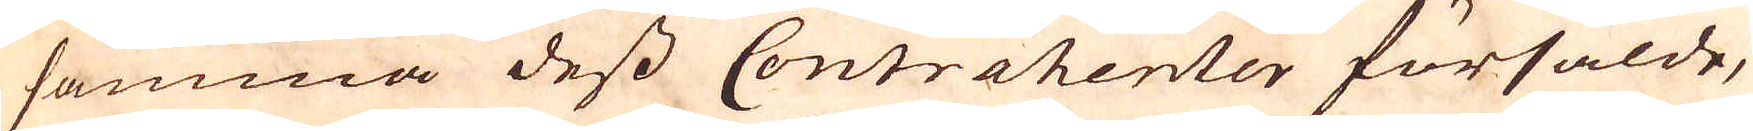samma dess Contrahenter försålde,
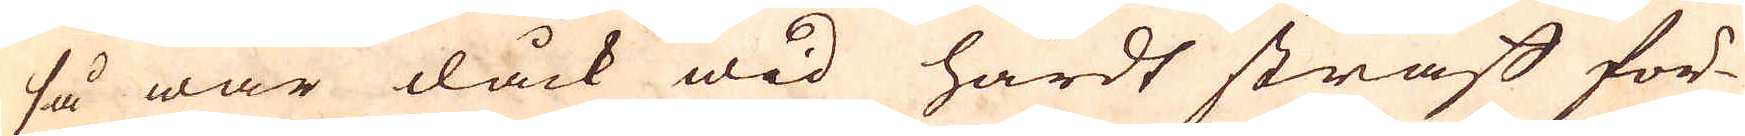så war dåck wid hårdt straf för-
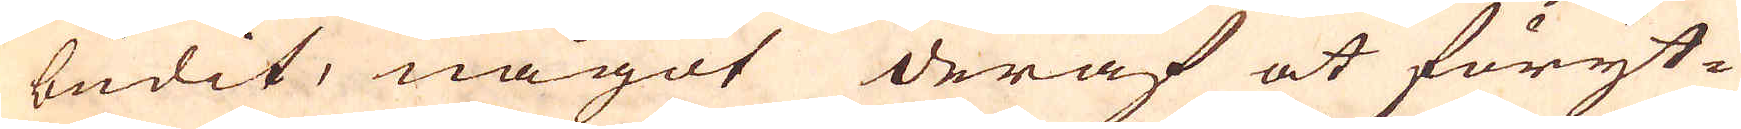budit, något deraf at föryt-
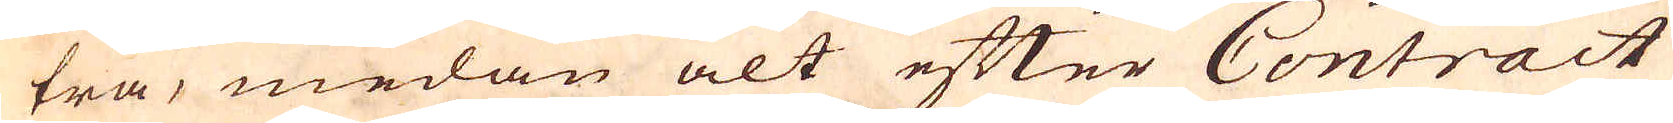tra, medan alt efter Contract
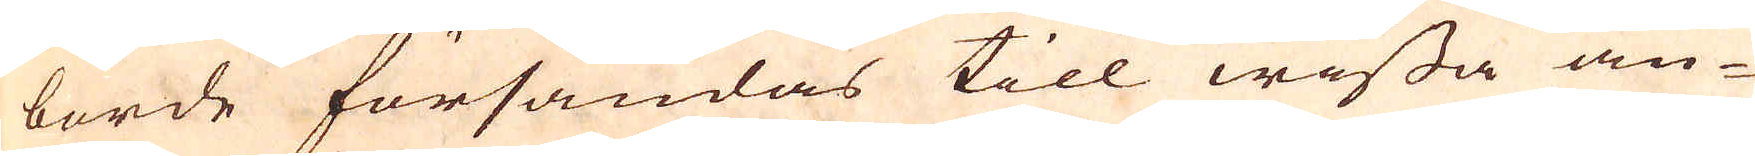borde försändas till wissa an-
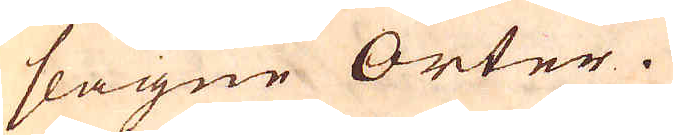slagne Orter.
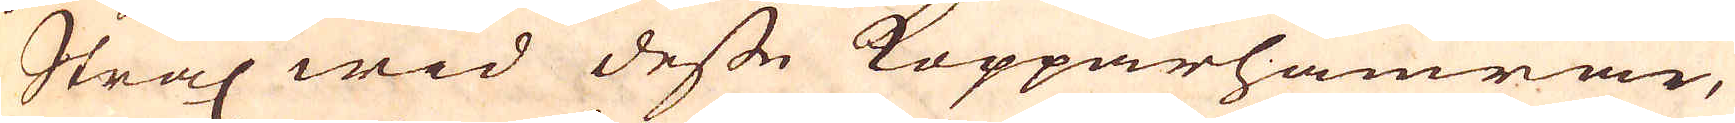Strax wid desse Kopparhamrar,
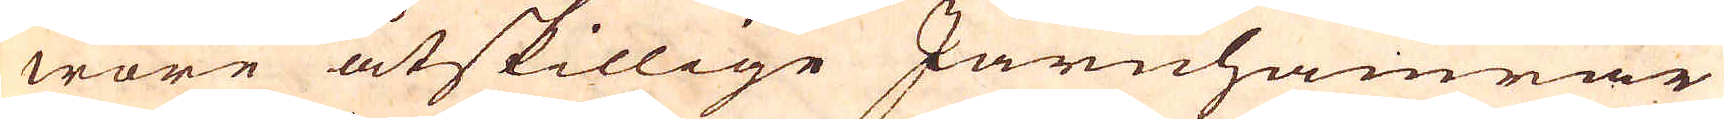wore åtskillige Järnhamrar
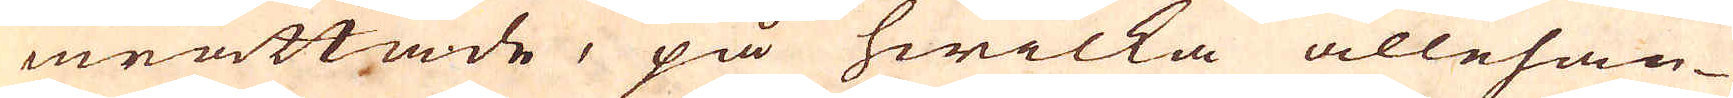inrättade, på hwilka allehan-
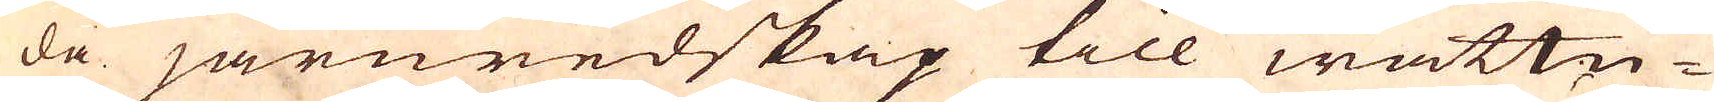da järnredskap till wattu-
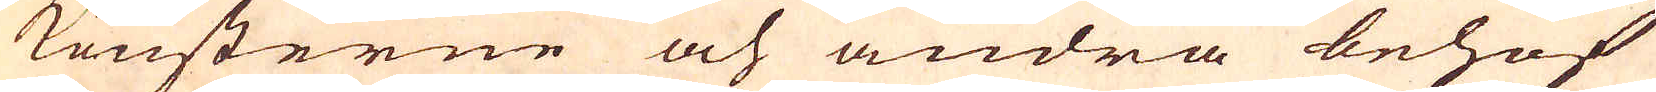konsterne och andra behof
